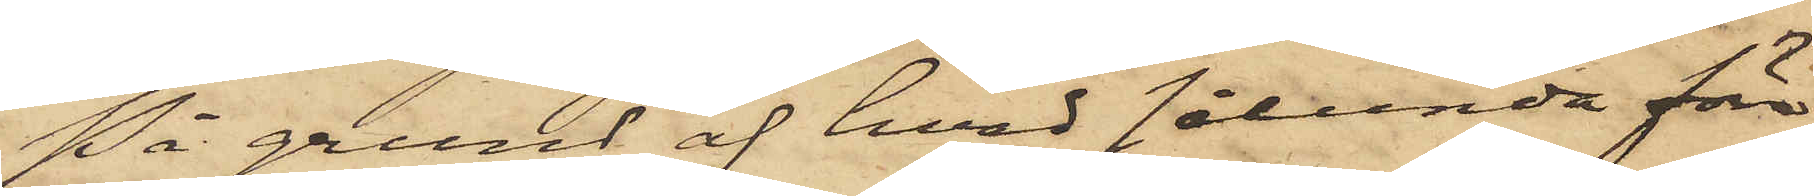På grund af hvad sålunda före¬
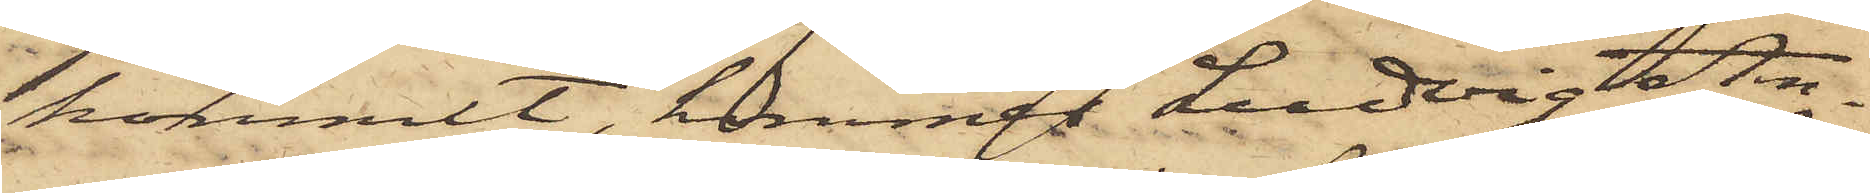kommit, kommer Ludvig An¬
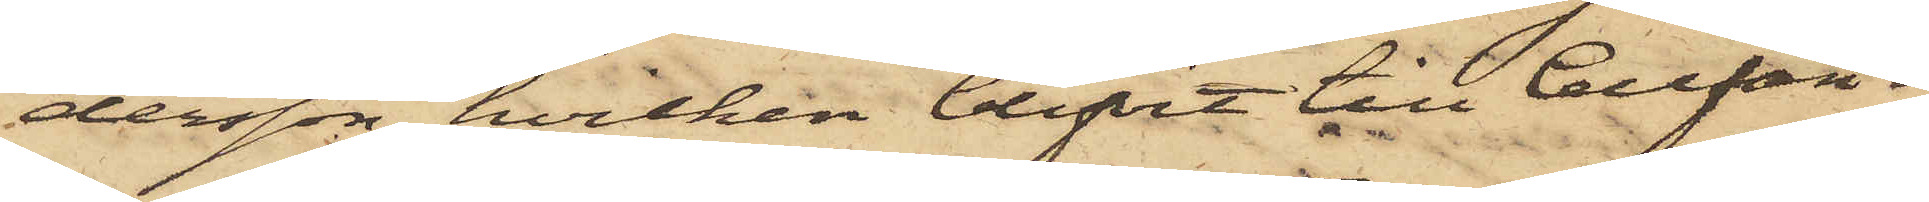dersson, hvilken blifvit till Cellfän¬
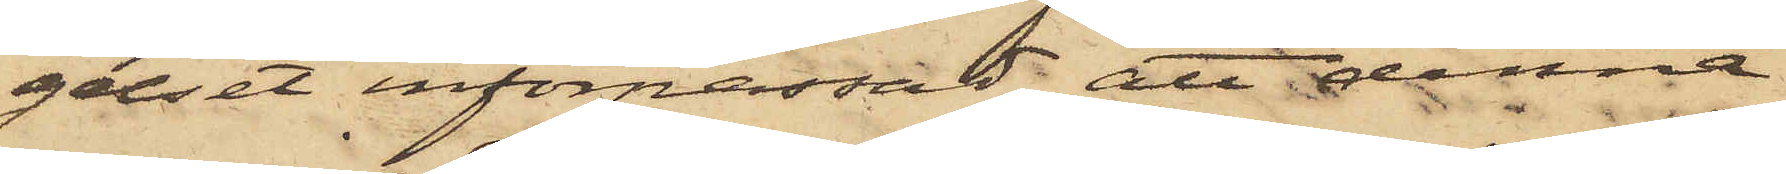gelset införpassad, att denna
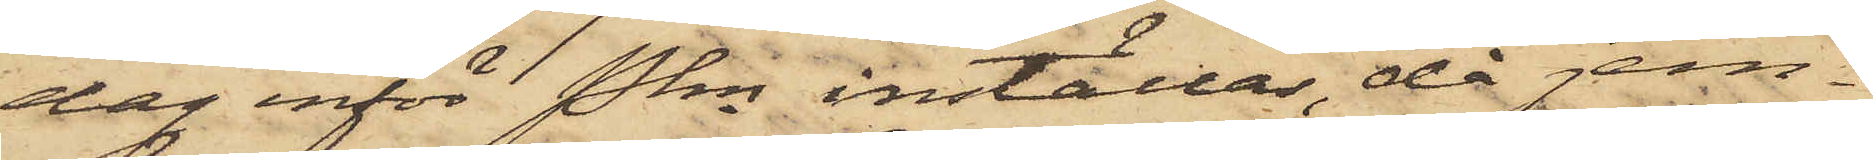dag inför Pkn inställas, då jem¬
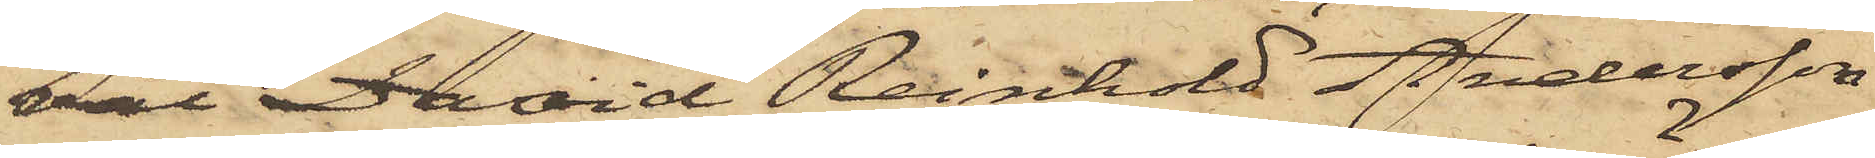väl David Reinhold Andersson
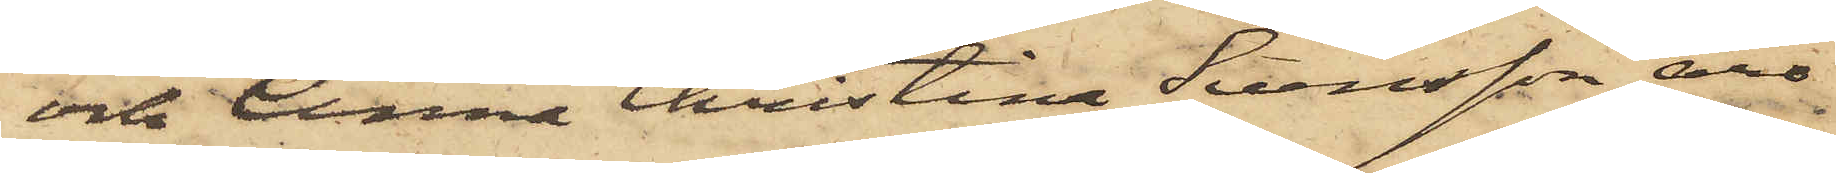och Anna Christina Svensson äro
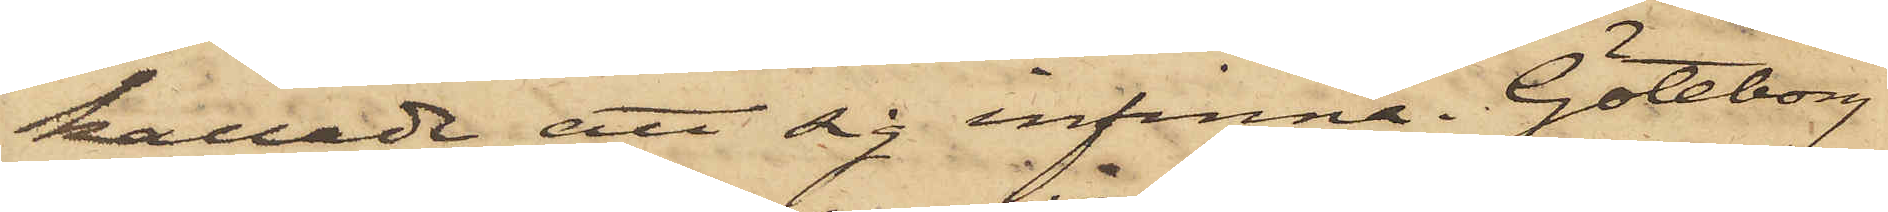kallade att sig infinna. Göteborg
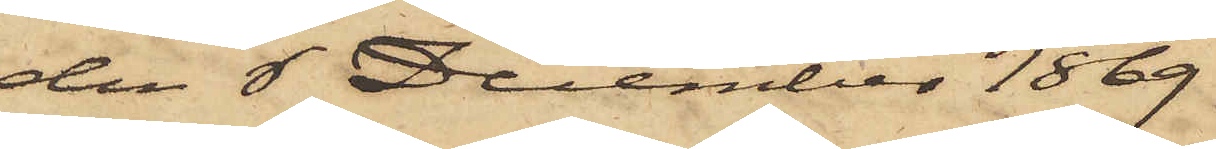den 6 December 1869.
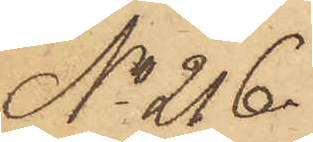No 216.
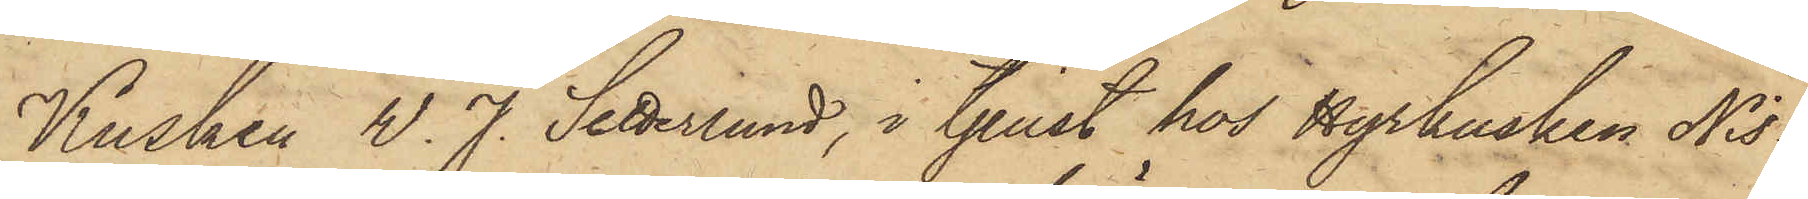Kusken W. J. Setterlund, i tjenst hos Hyrkusken Nis¬
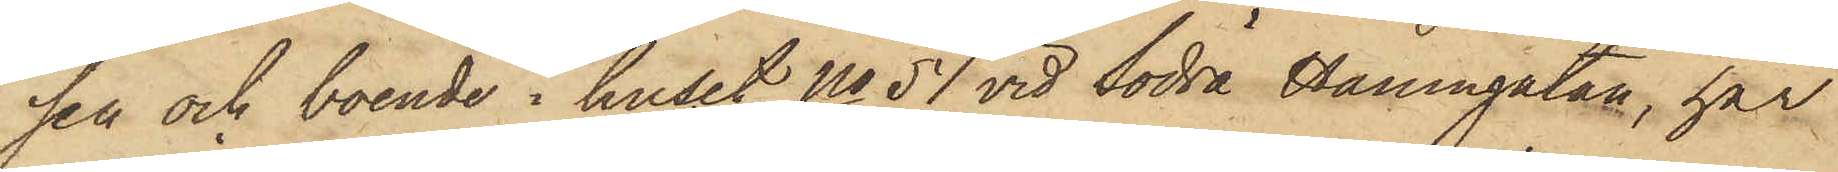sen och boende i huset No 51 vid Södra Hamngatan, har
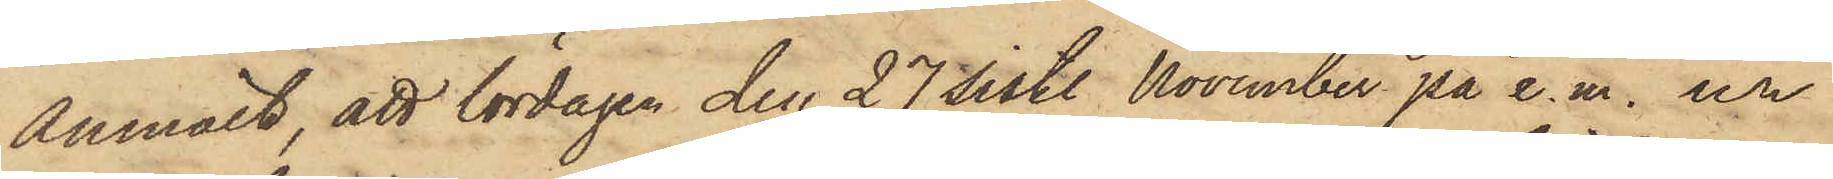anmält, att lördagen den 27 sistl. November på e.m. ur
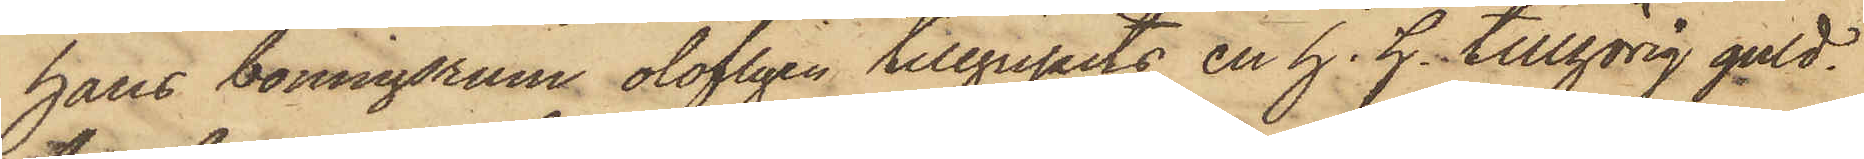hans boningsrum olofligen tillgripits en h. h. tillhörig guld¬
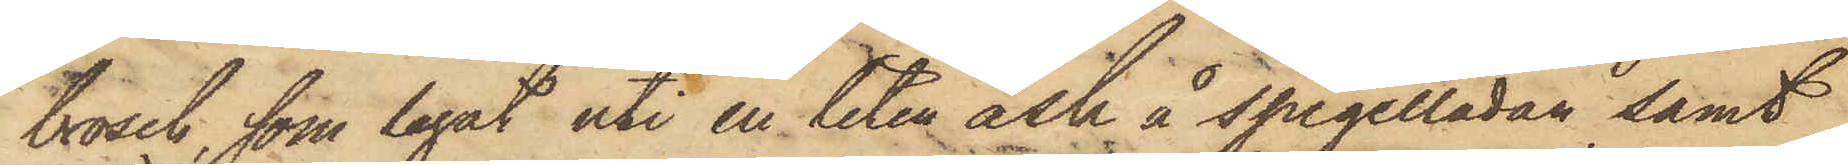brosch, som legat uti en liten ask å spegelladan samt
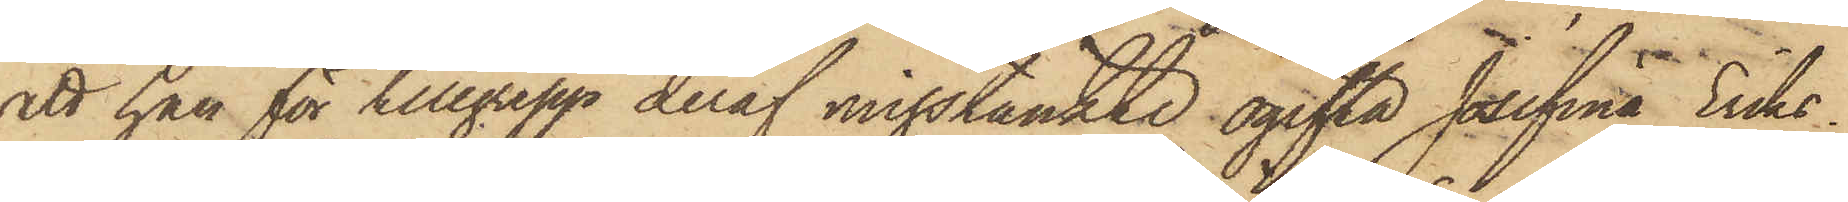att han för tillgrepp deraf misstänkte ogifta Josefina Eriks¬
